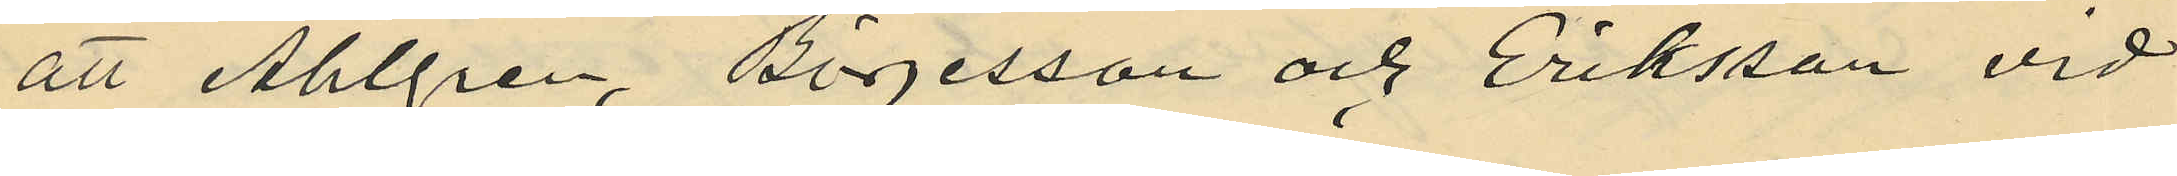att Ahlgren, Börjesson och Eriksson vid
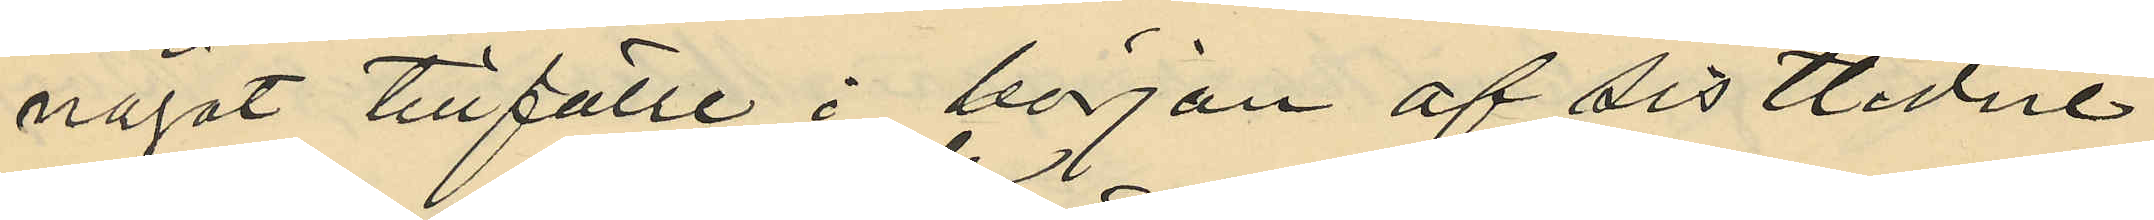något tillfälle i början af sistlidne
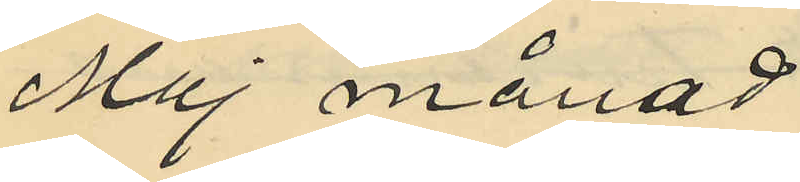Maj månad
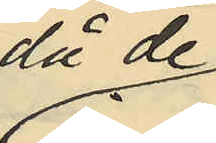då de
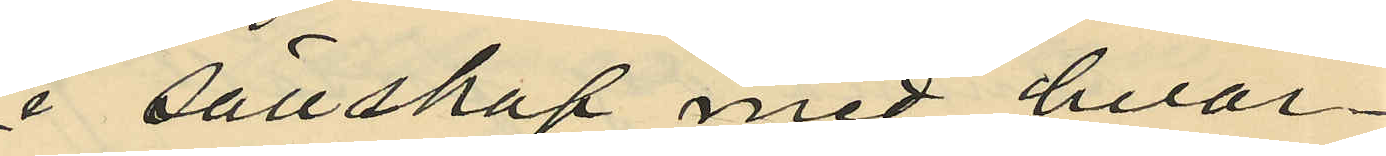i sällskap med hvar¬
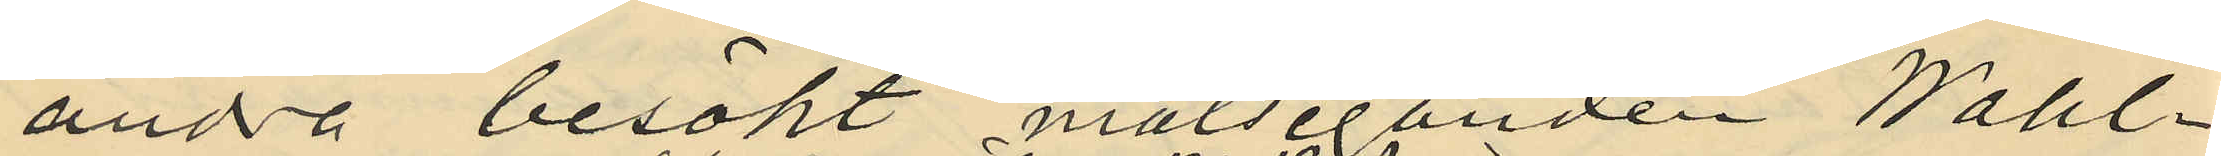andra besökt målseganden Wahl¬
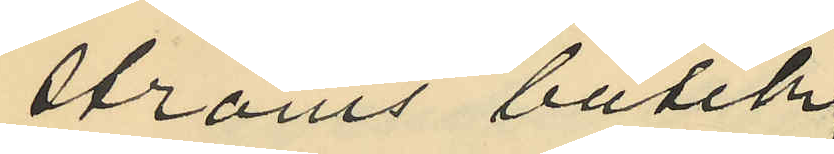ströms butik
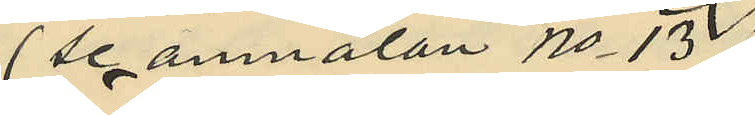(se anmälan No 13)
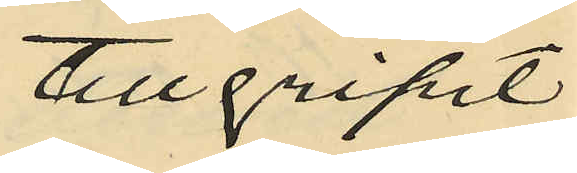tillgripit
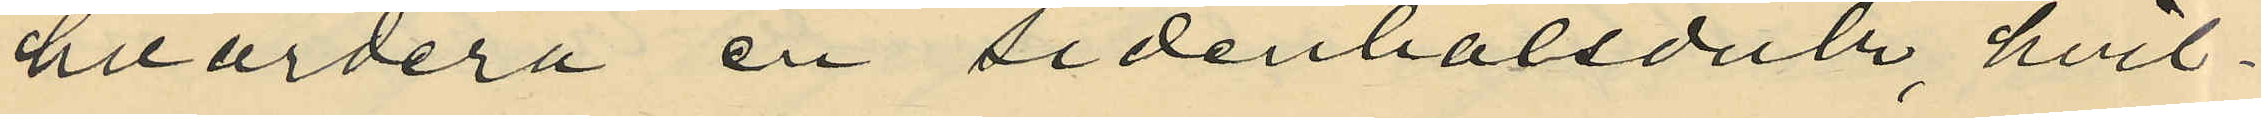hvardera en sidenhalsduk, hvil¬
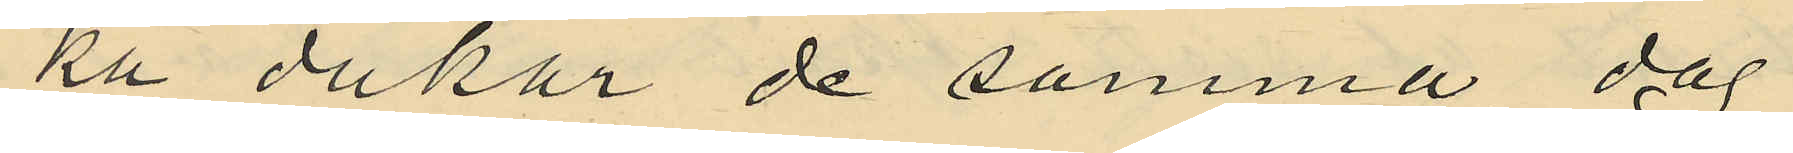ka dukar de samma dag
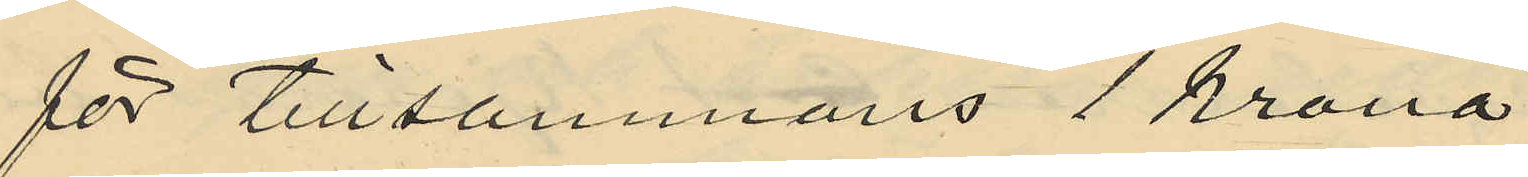för tillsammans 1 krona
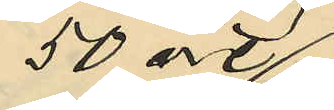50 öre
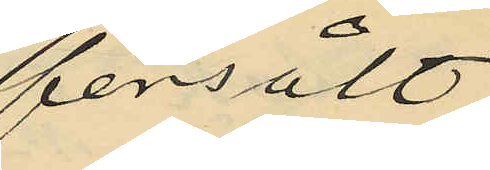försålt
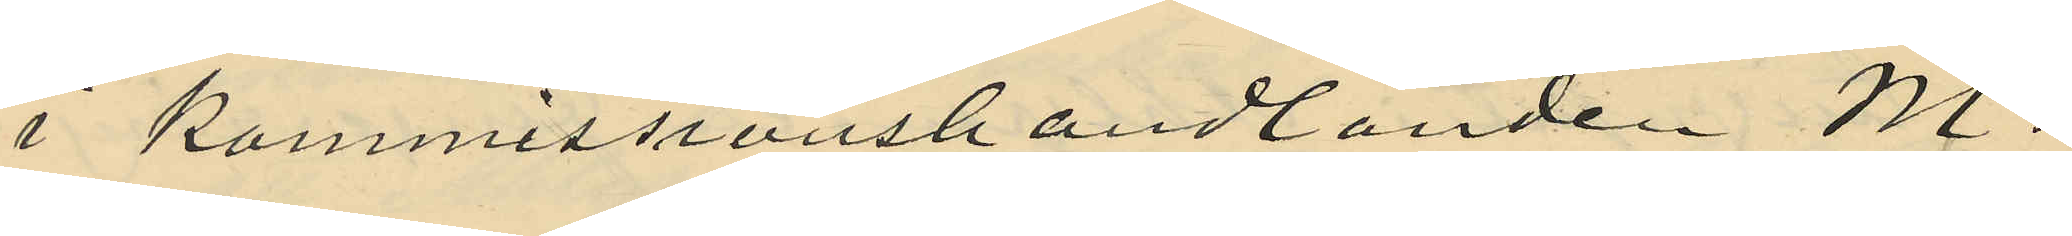i Kommissionshandlanden M.
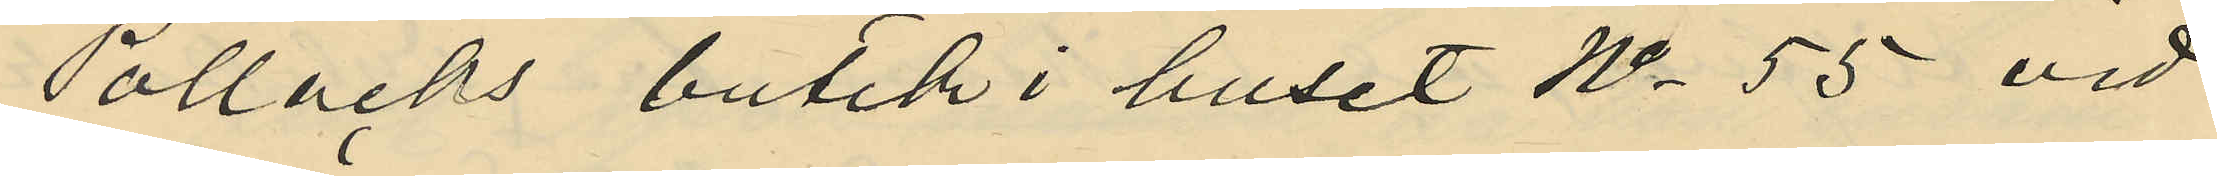Pollacks butik i huset No 55 vid
